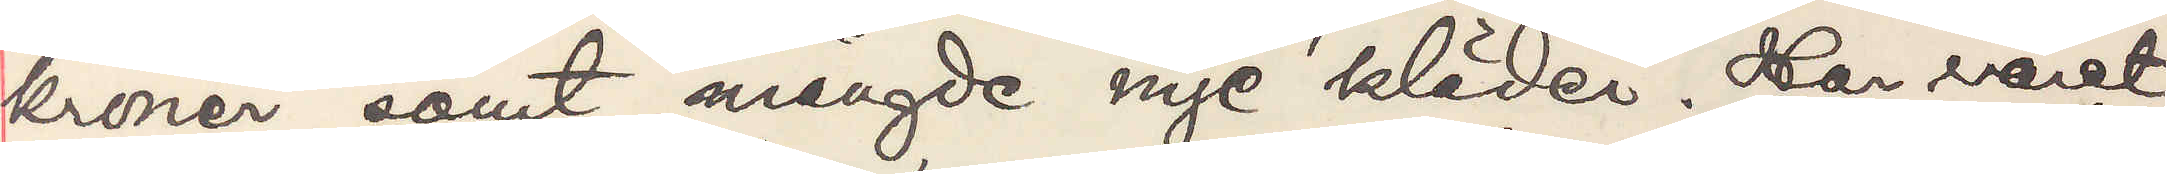kroner, samt mängde nye kläder. Har väret
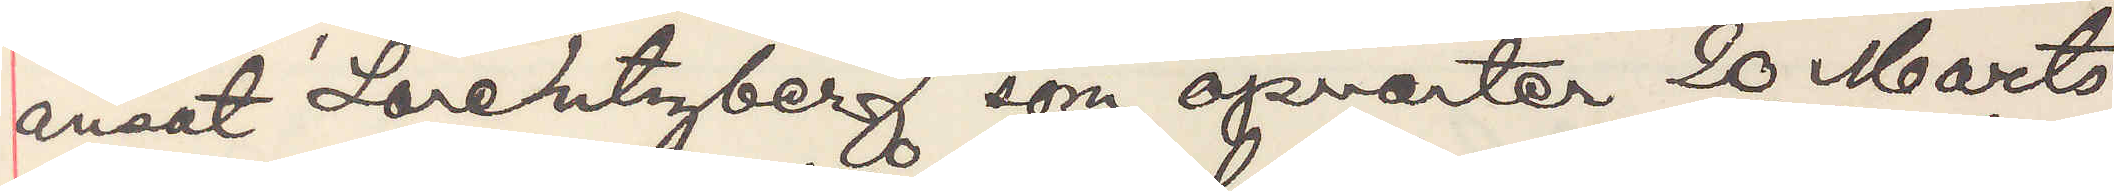ansat Lorentzberg som opvarter 20 Marts
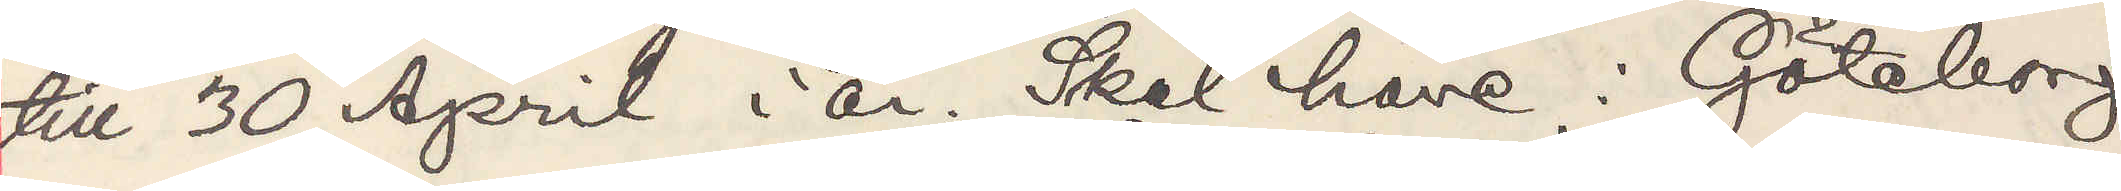till 30 April i år. Skal have i Göteborg
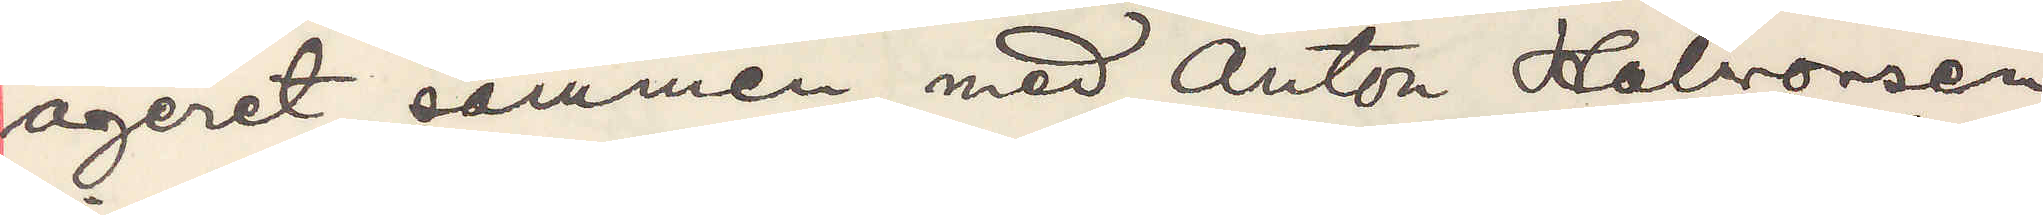ageret sammen med Anton Halvorsen
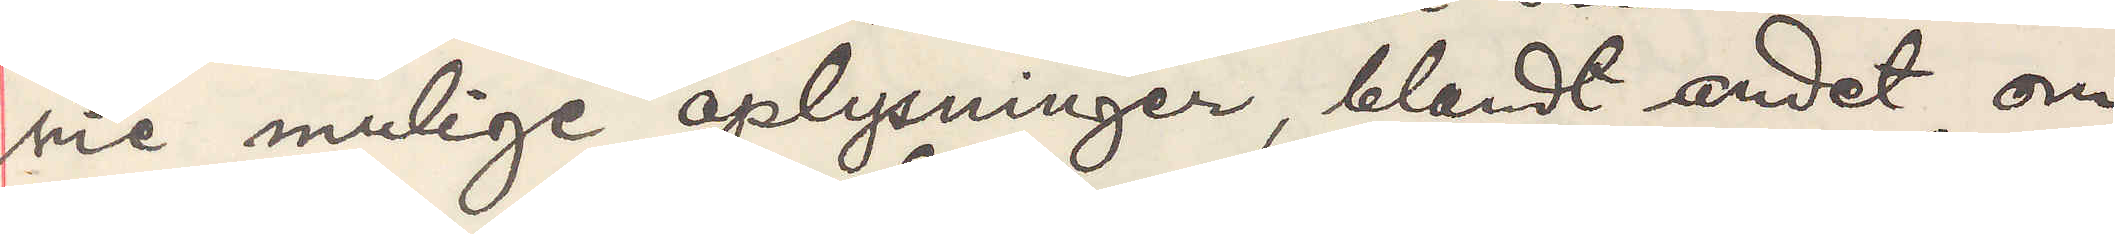sie mulige oplysninger, blandt andet om
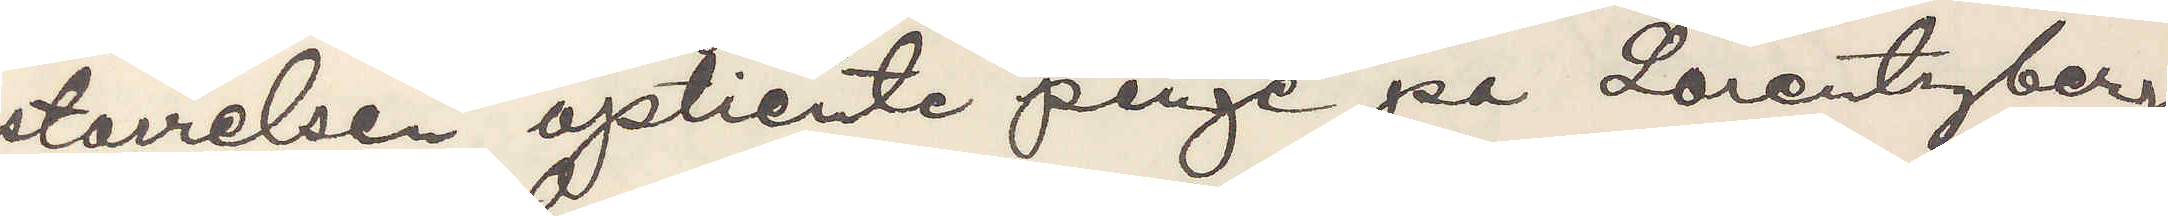storrelsen optiente penga pa Lorentzberg
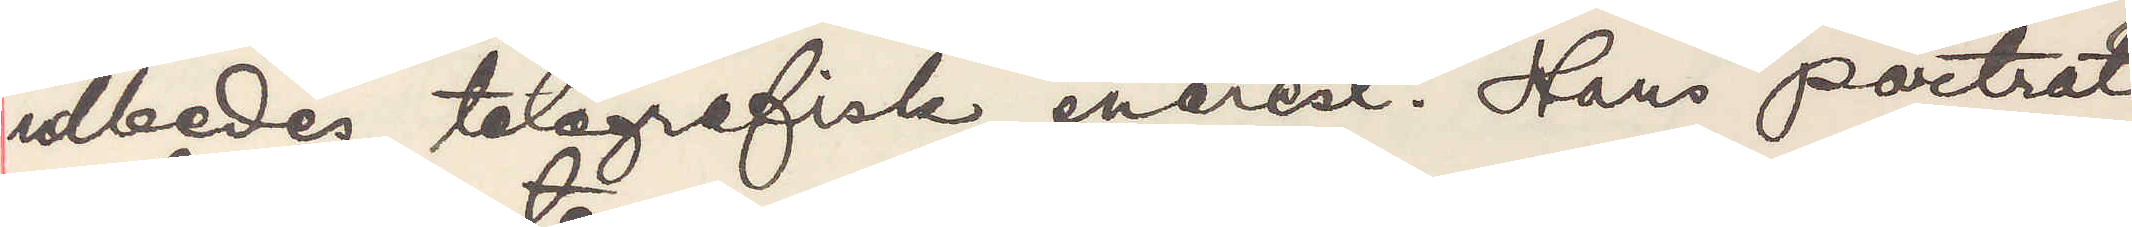udbedes telegrafisk enerest. Hans portrat
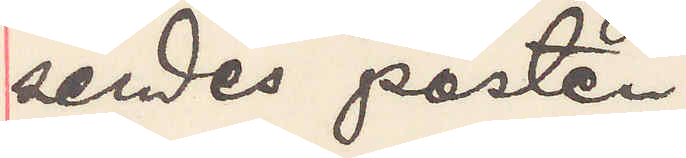sendes posten.
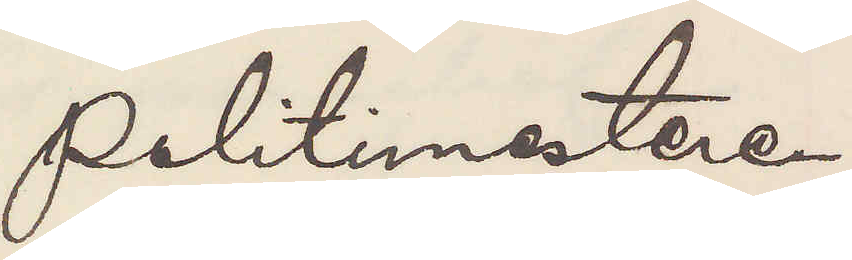Politimesteren.
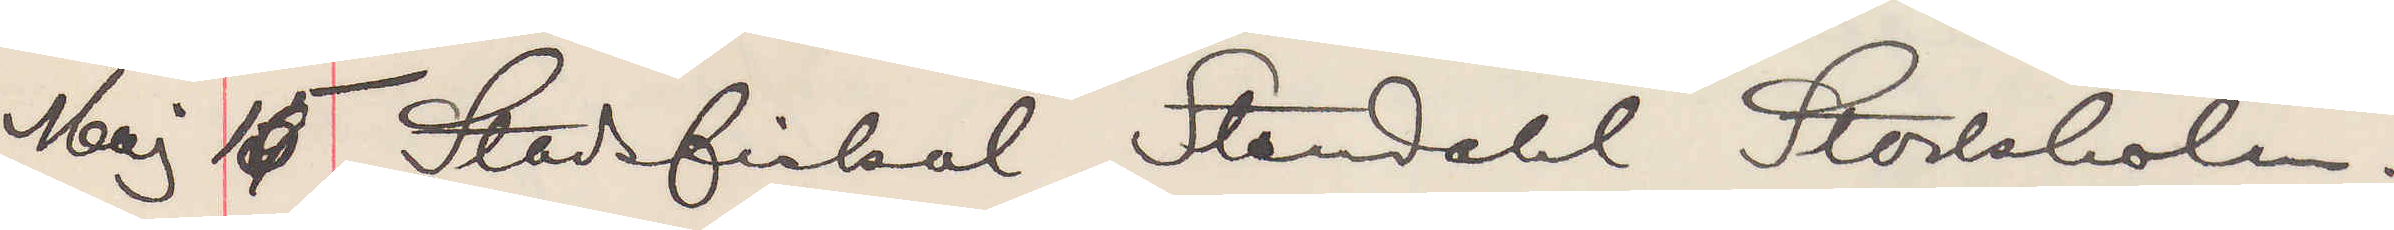Maj 15 Stadsfiskal Stendahl Stockholm.
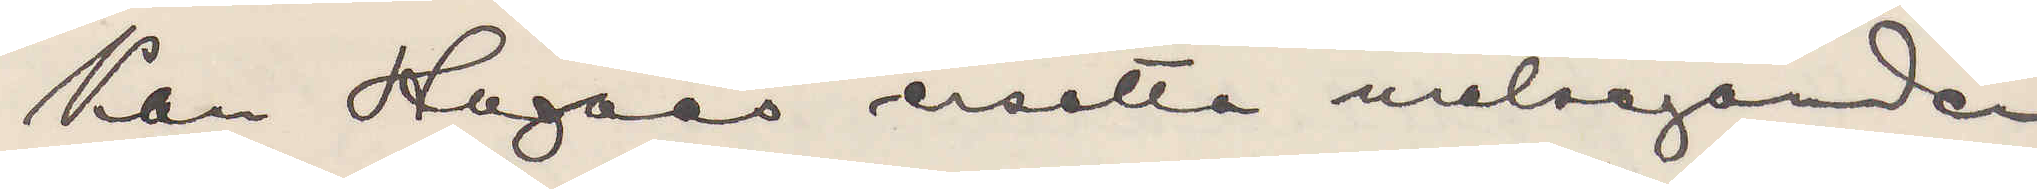Kan Hagaas ersätta målseganden
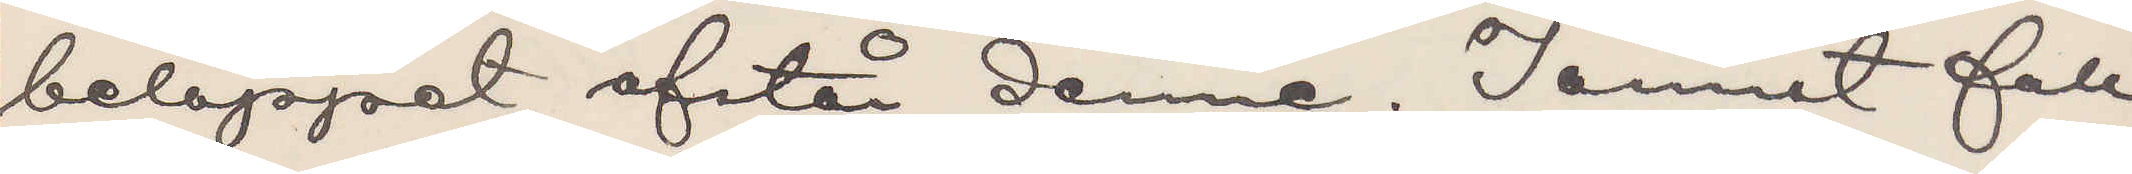beloppet afstår denne. I annat fall
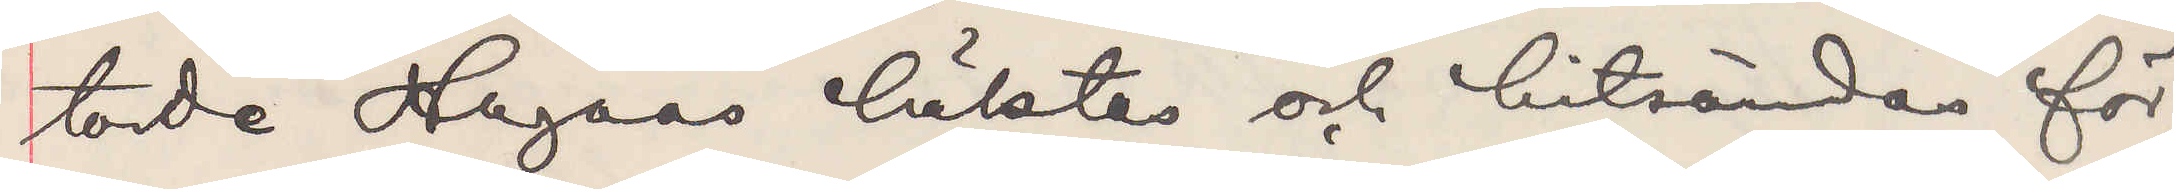torde Hagaas häktas och hitsändas för
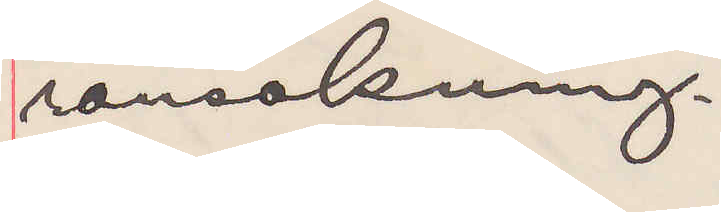ransakning.
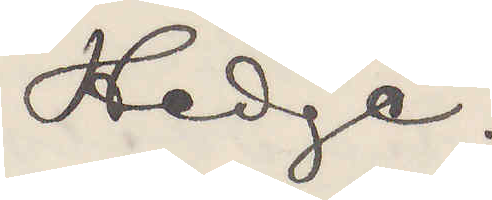Hedge.
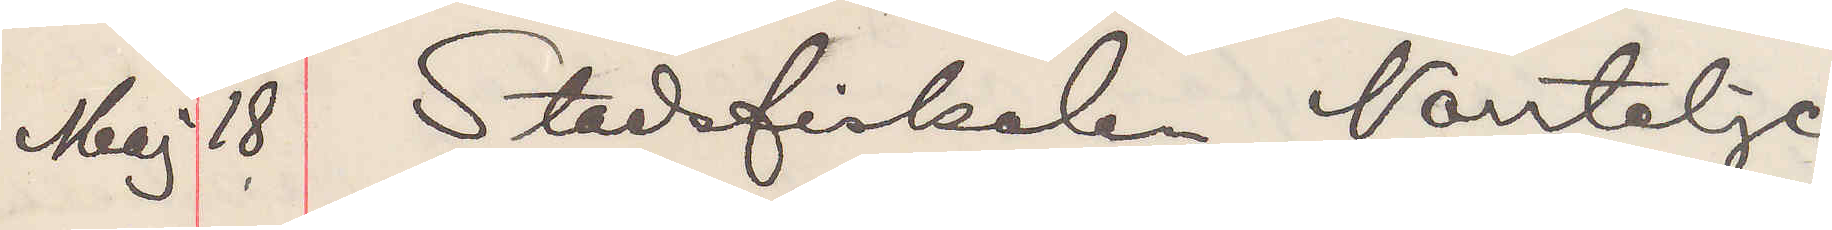Maj 18 Stadsfiskalen Norrtelje.
